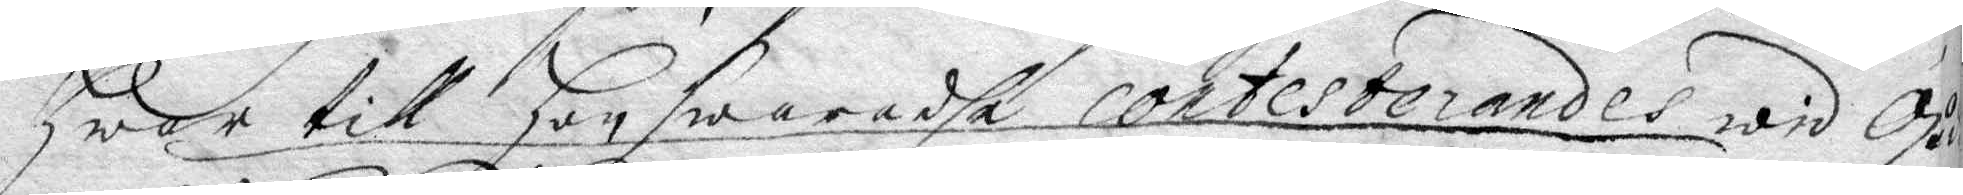Hwar till hon swaradhe contesterandes wid Gu
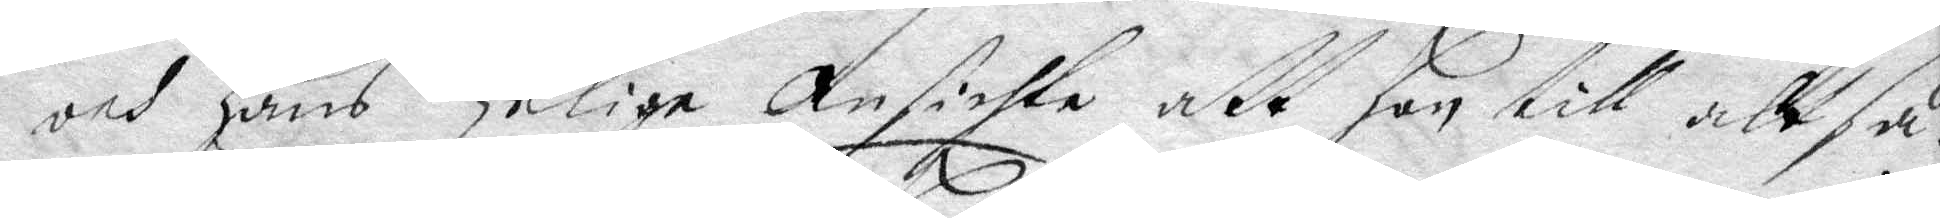och hans helige Ansichte, att hon till att så¬
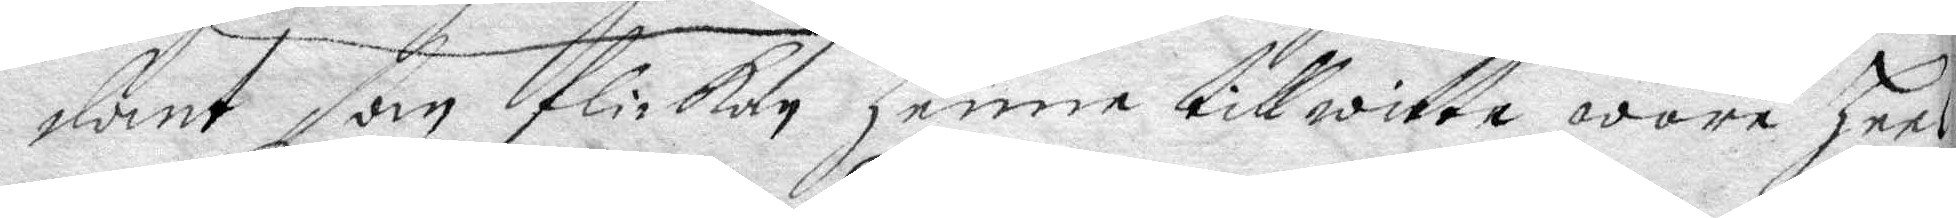dant som flickan henne till witta wore heel
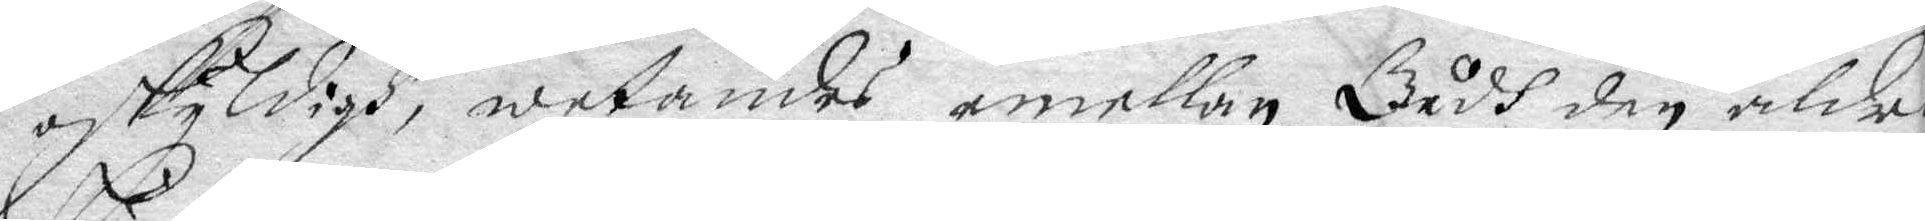oskyldigh, wetandes emellan Gudh den aldra
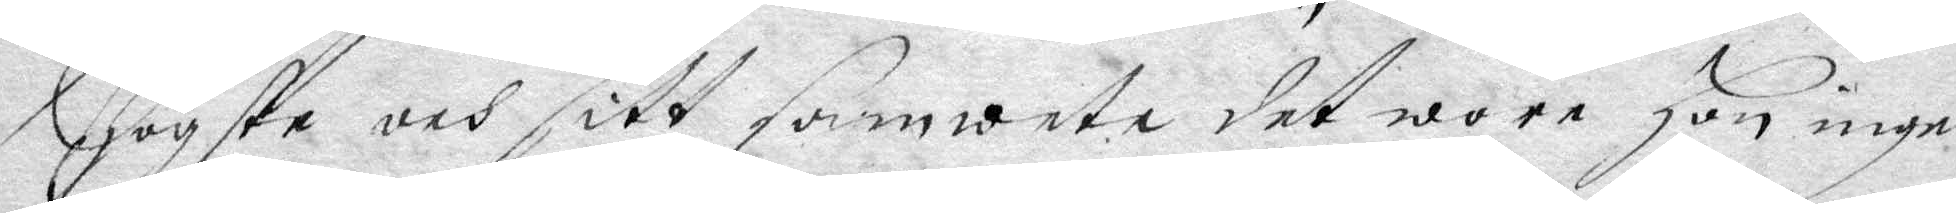Högste och sitt samwete det wore Hon ingen
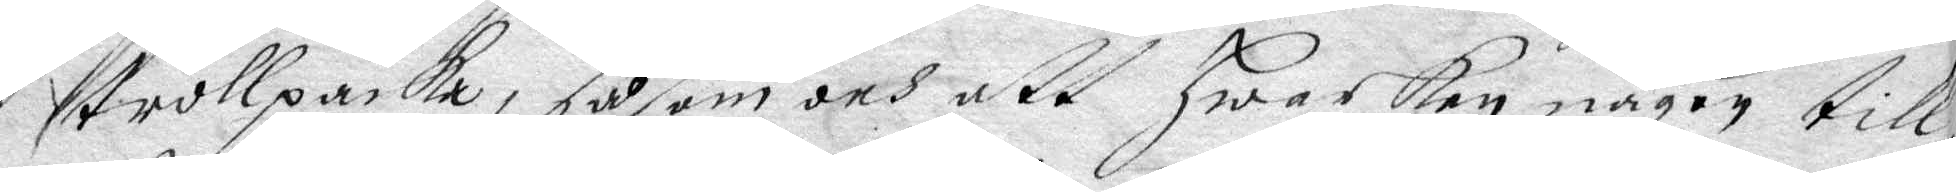trollpacka, såsom och att hwarken någon till
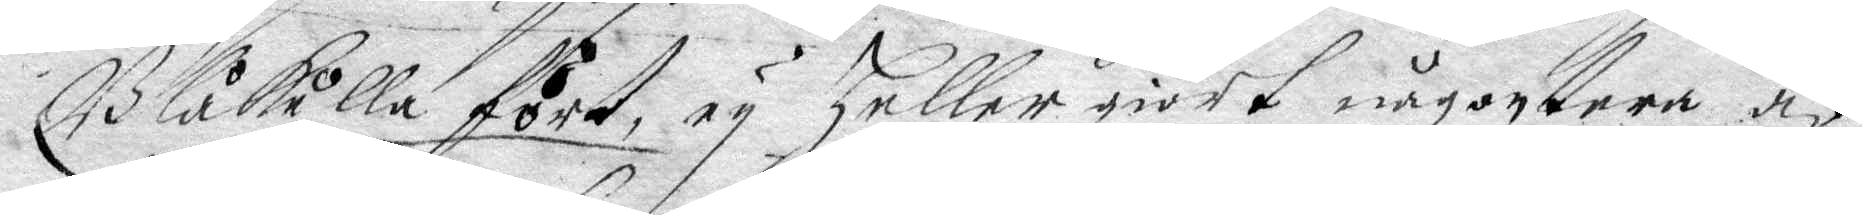Blåkulla fört, ey heller giort någontera af
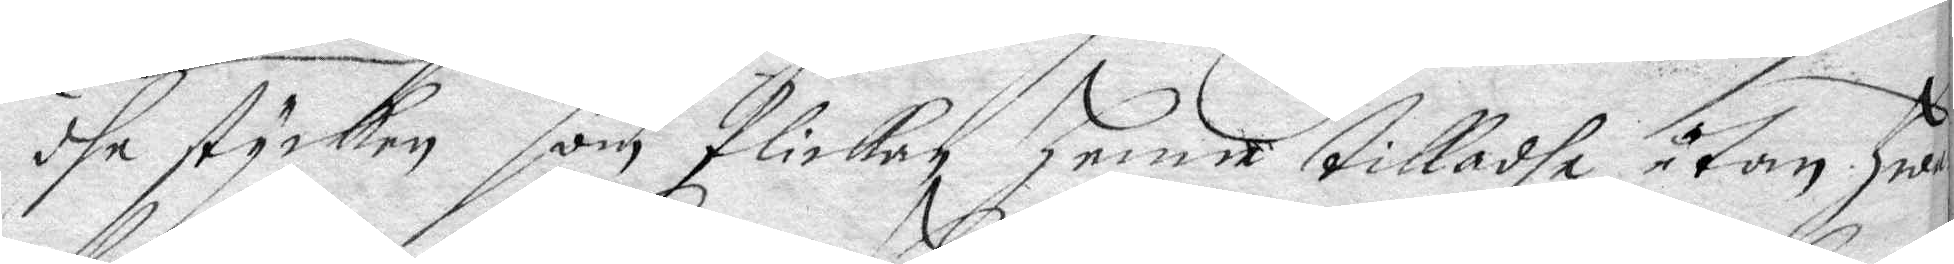dhe stycken som flickan henne tilladhe utan hwad
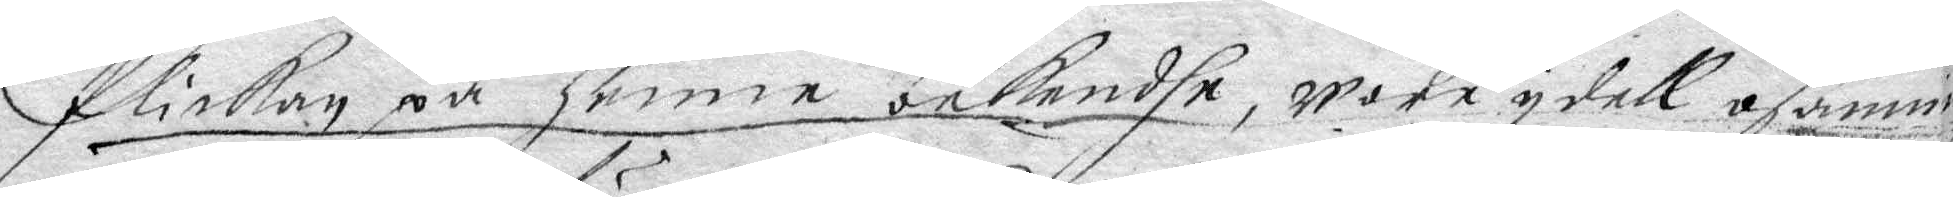flickan på henne bekendhe, wore ydell osanning
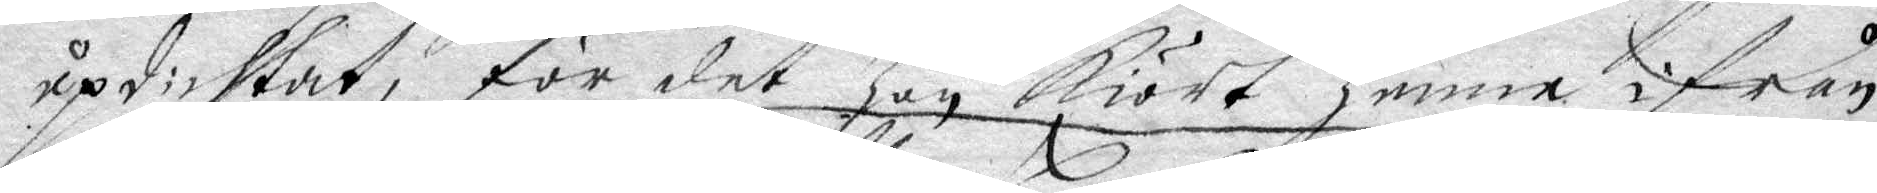updichtat, för det hon kiört henne ifrån
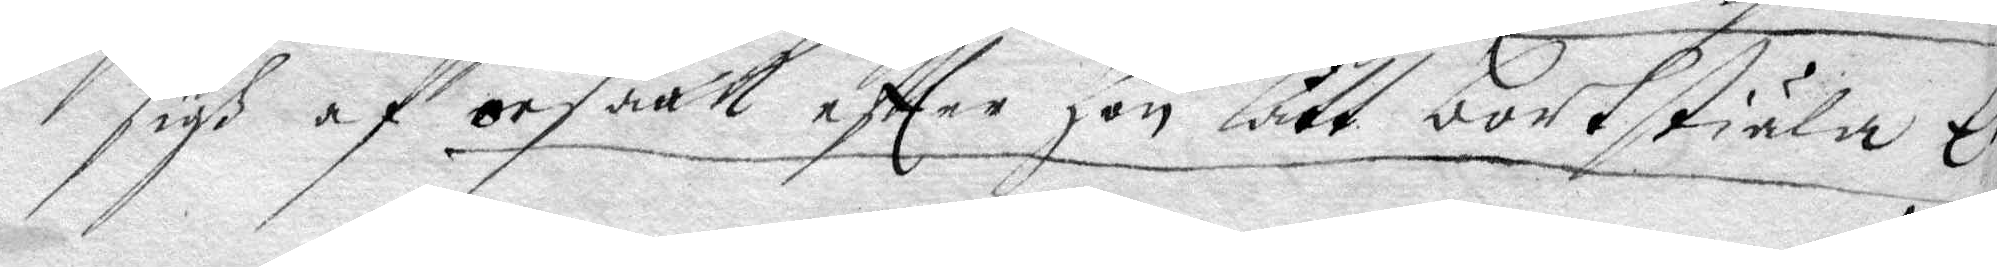sigh af orsaak effter en lått bortstiäla Ett
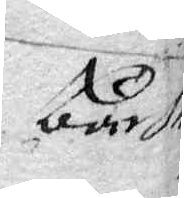bäcken
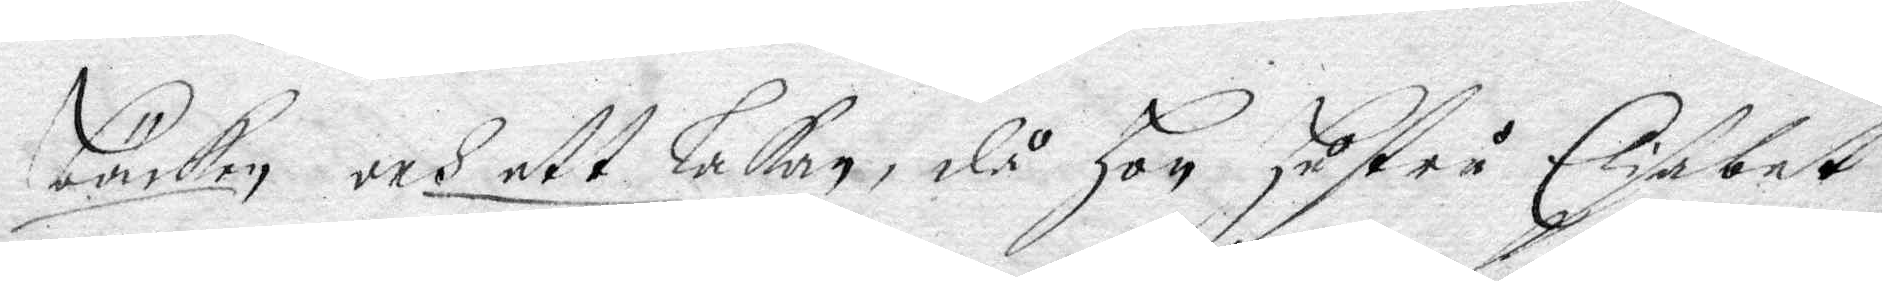bäcken och ett Lakan, då hon hustru Elisabet
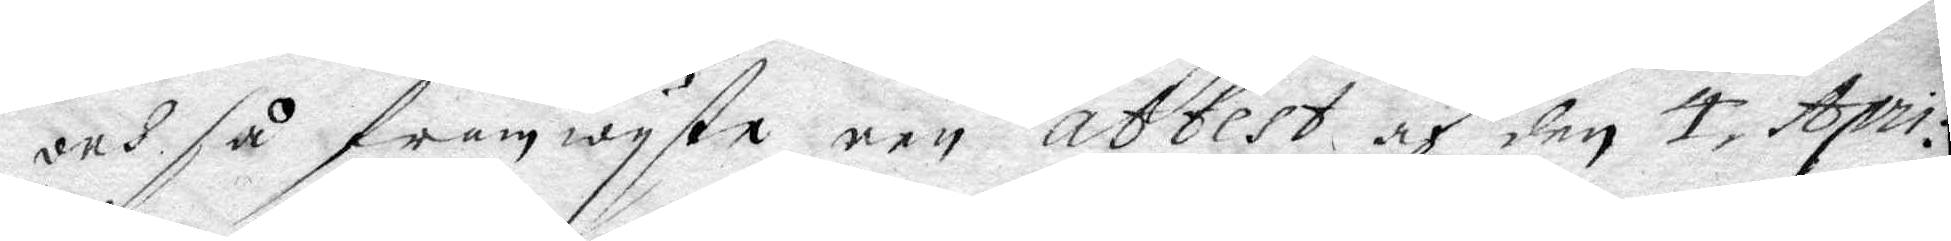och så framwyste een attest och den 4 April¬
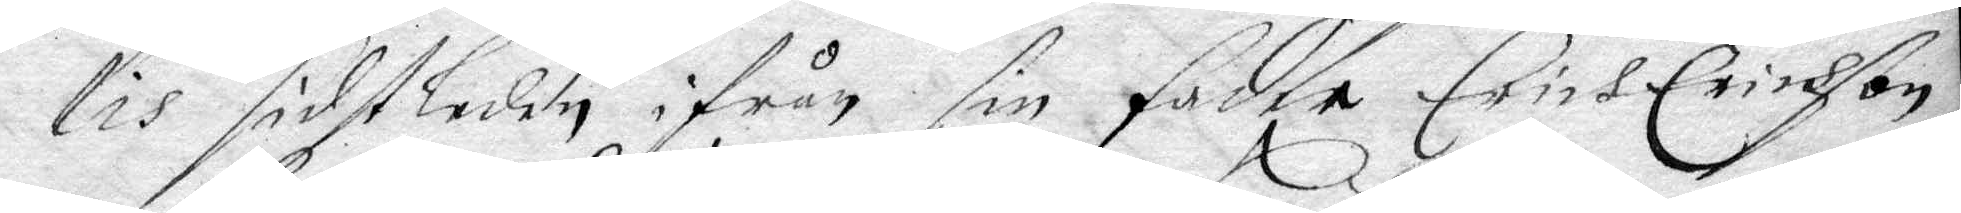lis sidstleden ifrån sin fader Erich Erichson
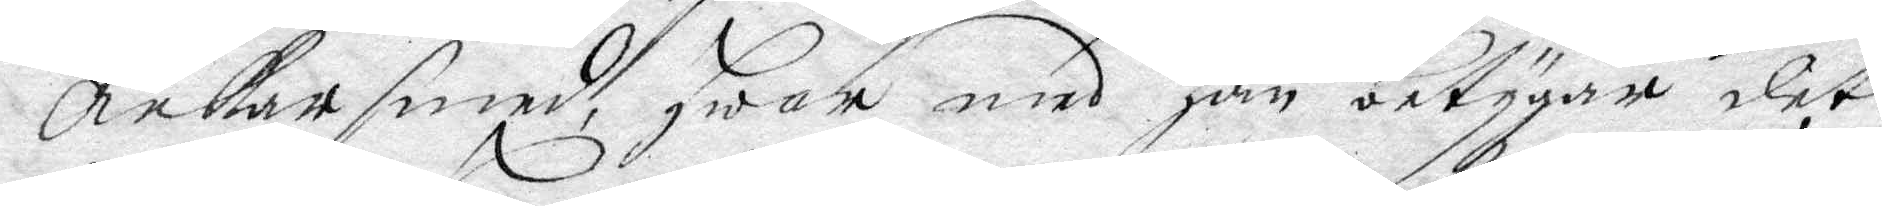Ankarsmed, Hwar med han betygar det
